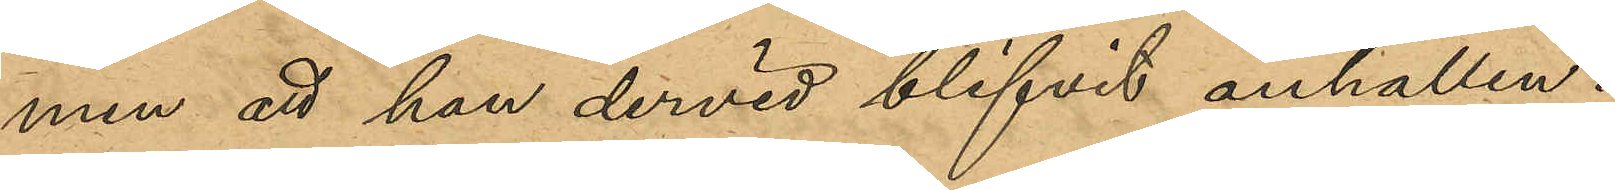men att han dervid blifvit anhållen.
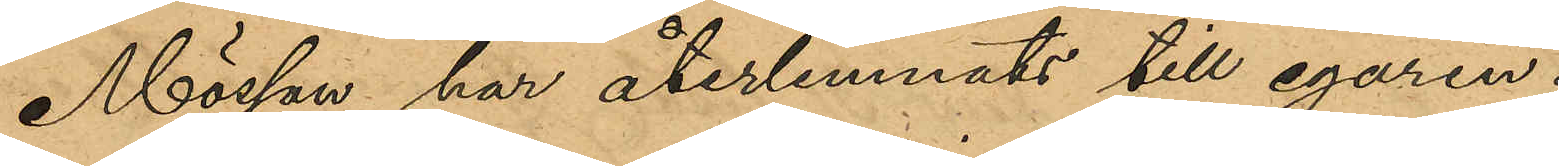Mössan har återlemnats till egaren.
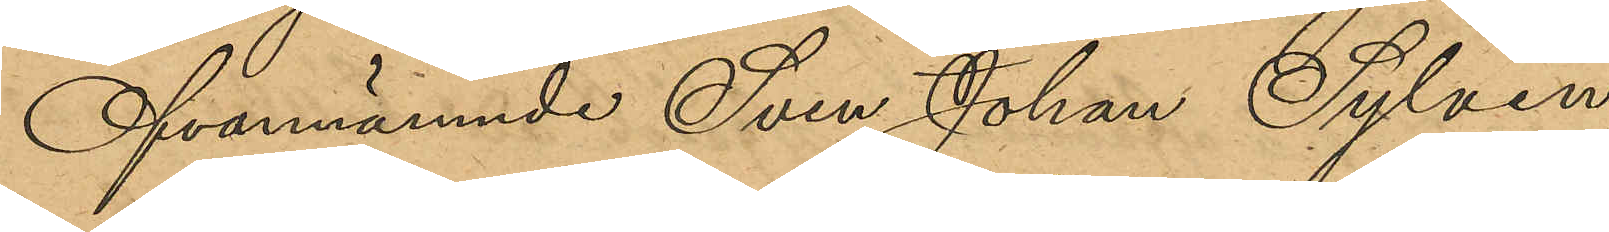Ofvannämnde Sven Johan Sylvin
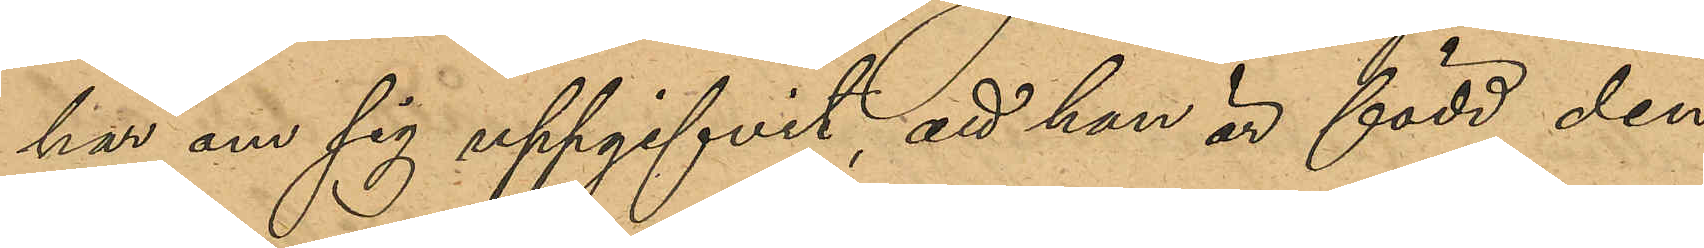har om sig uppgifvit, att han är född den
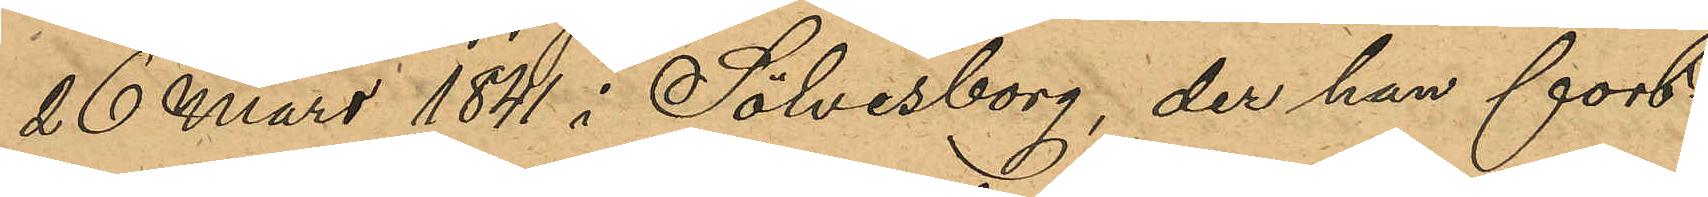26 Mars 1841 i Sölvesborg, der han fort¬
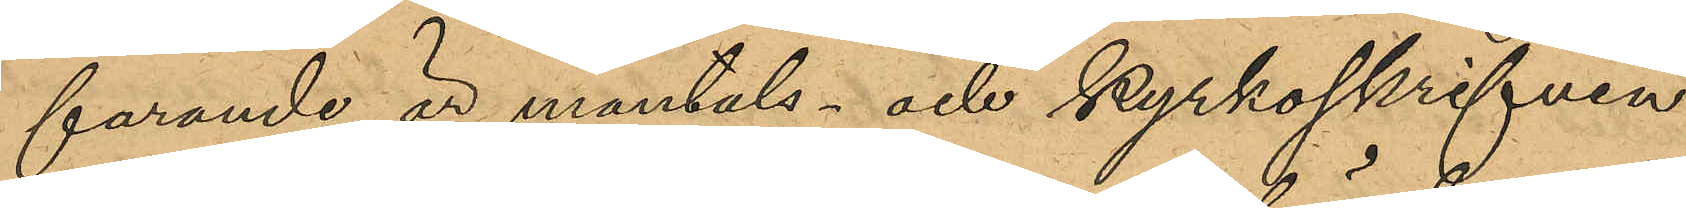farande är mantals- och kyrkoskrifven.
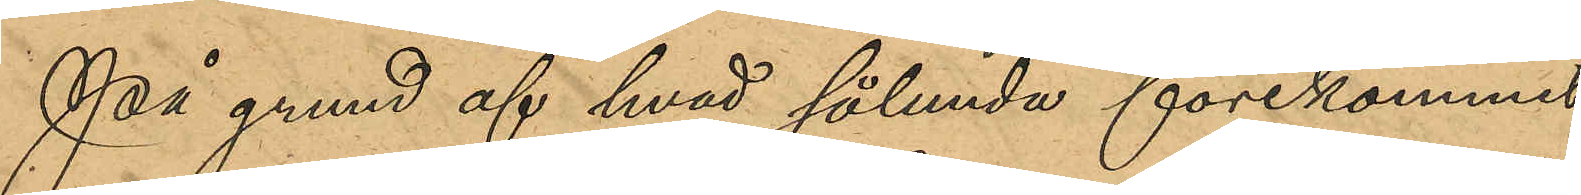På grund af hvad sålunda förekommit
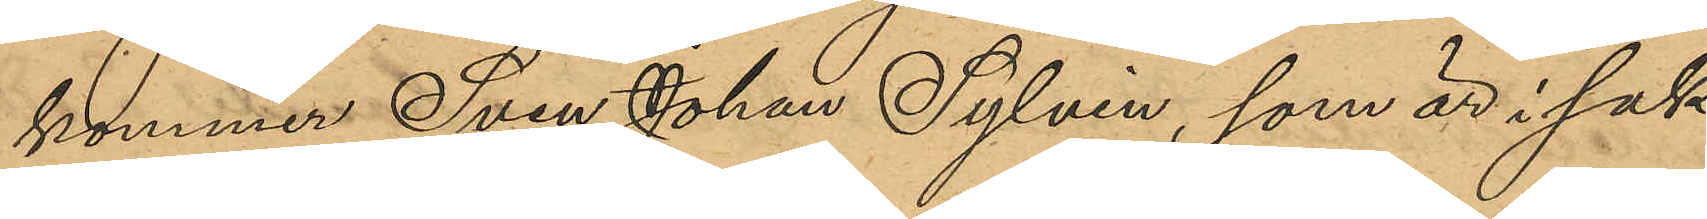kommer Sven Johan Sylvin, som är i sak¬
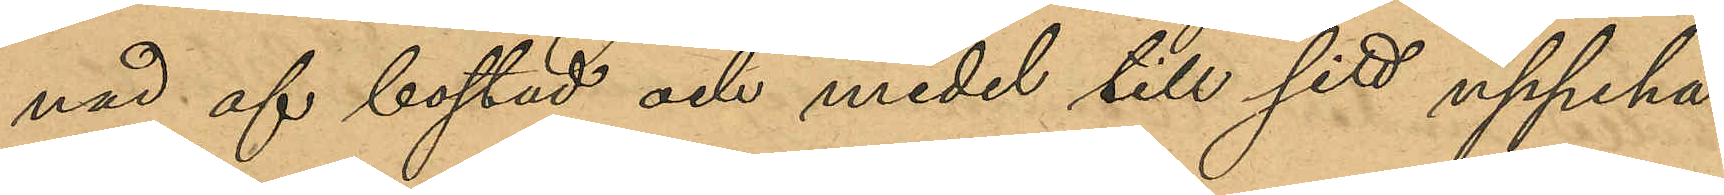nad af bostad och medel till sitt uppehäl¬
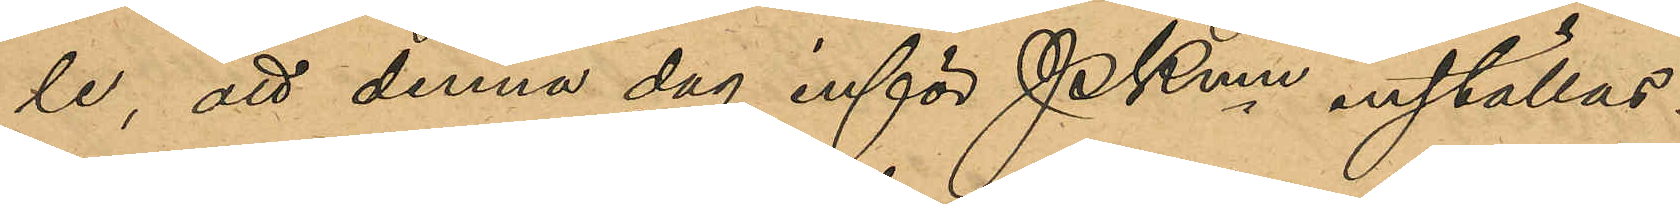le, att denna dag inför Pkmn inställas.
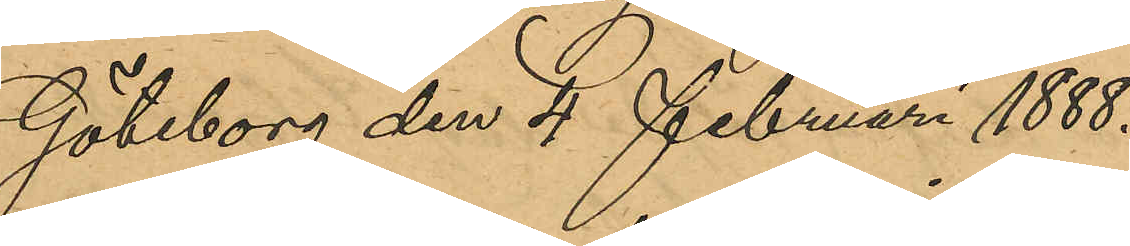Göteborg den 4 Februari 1888.
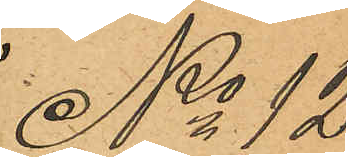No 12
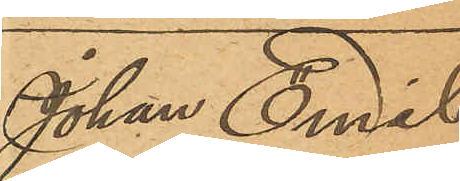Johan Emil
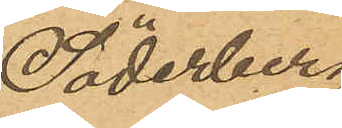Söderberg
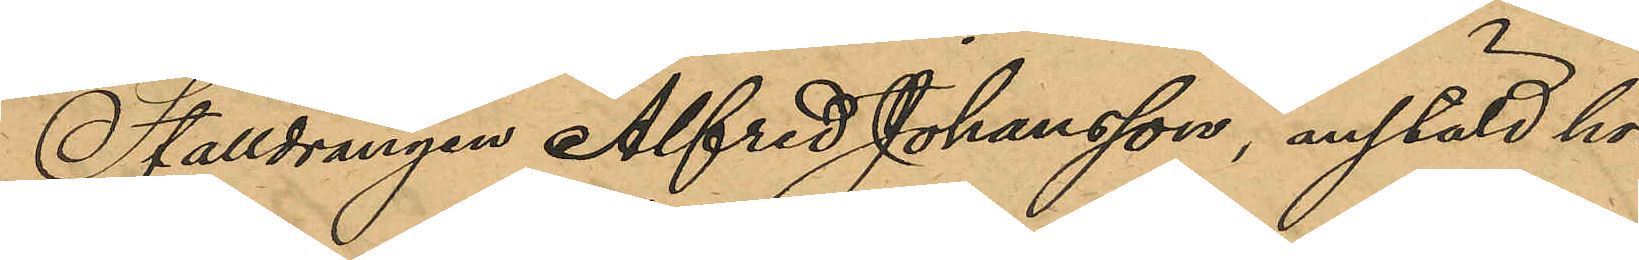Stalldrängen Alfred Johansson, anstäld hos
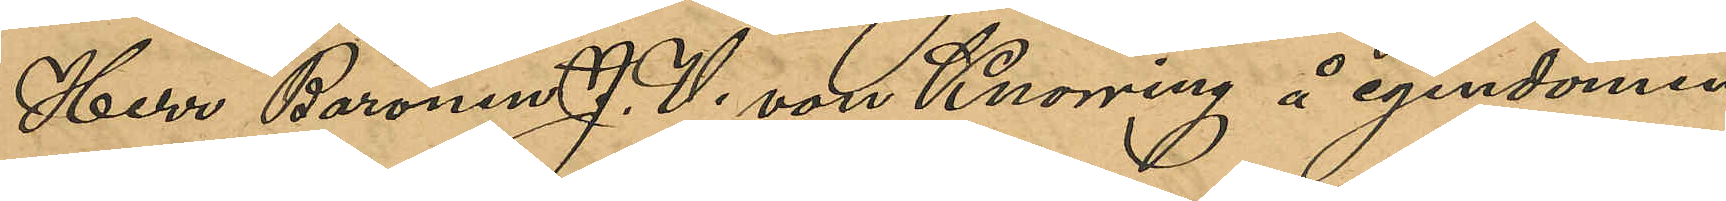Herr Baronen J. V. von Knorring å egendomen
